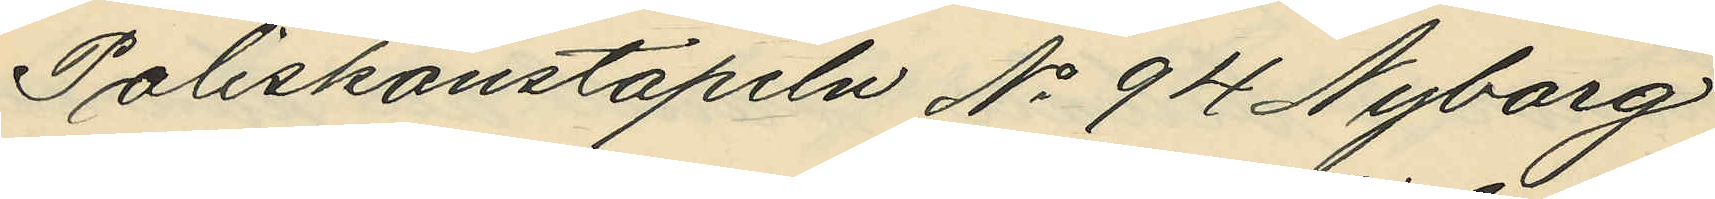Poliskonstapeln No 94 Nyborg
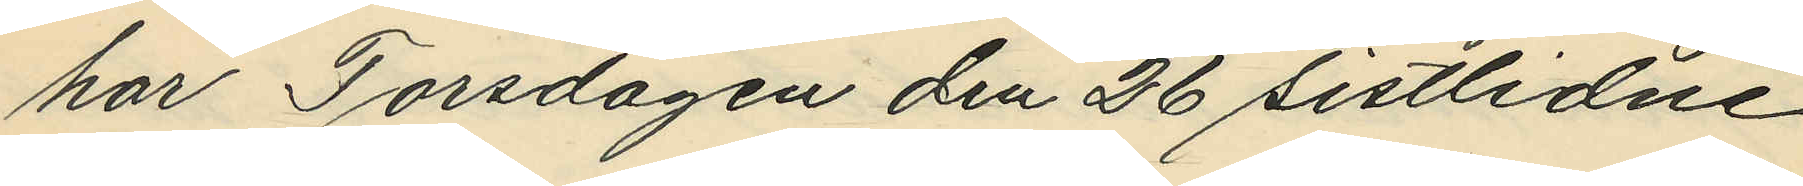har Torsdagen den 26 sistlidne
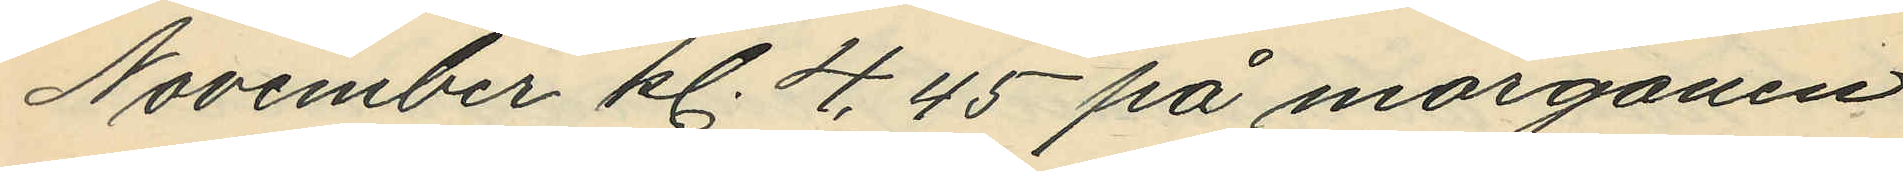November kl. 4,45 på morgonen
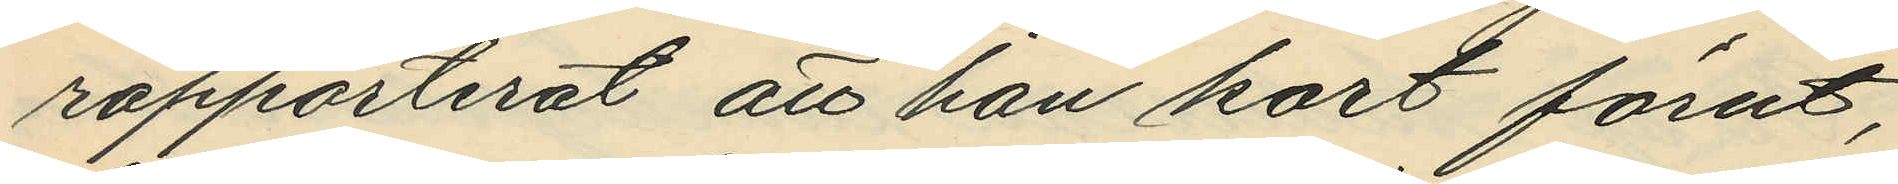rapporterat att han kort förut,
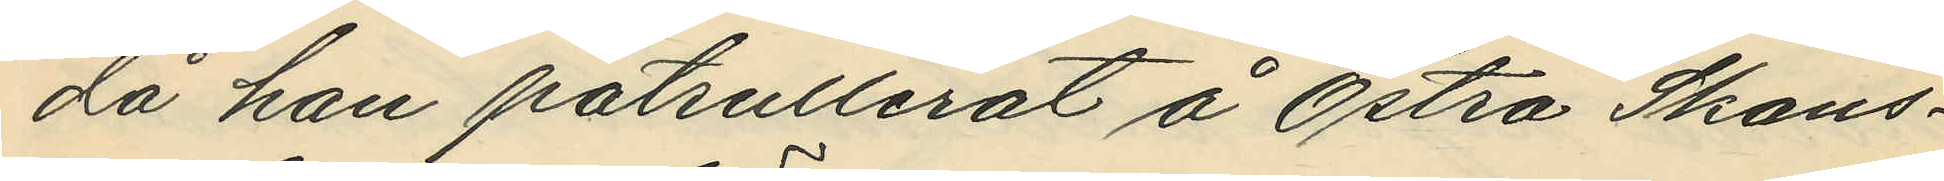då han patrullerat å Östra Skans¬
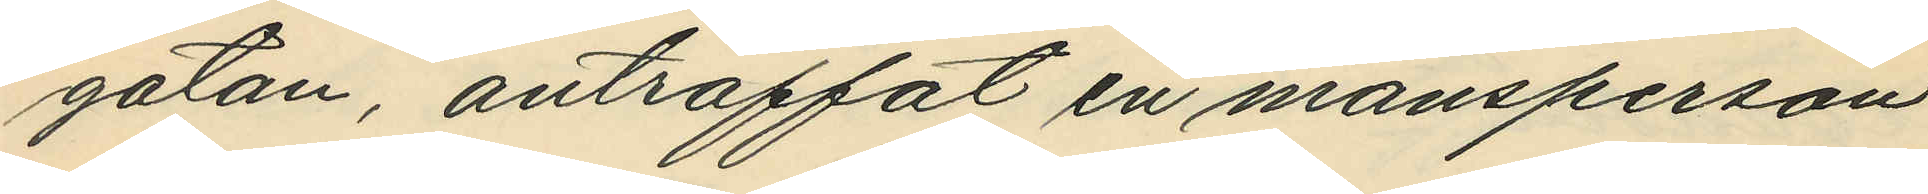gatan, anträffat en mansperson
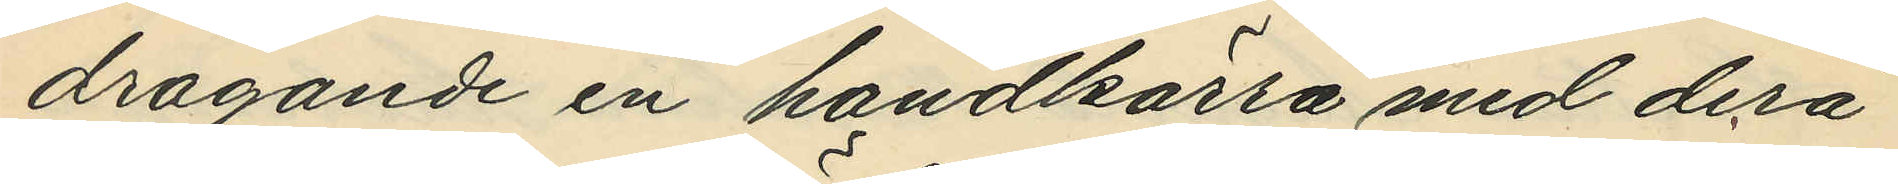dragande en handkärra med derå
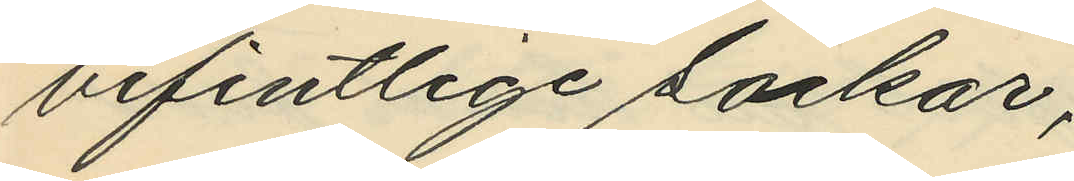befintlige säckar;
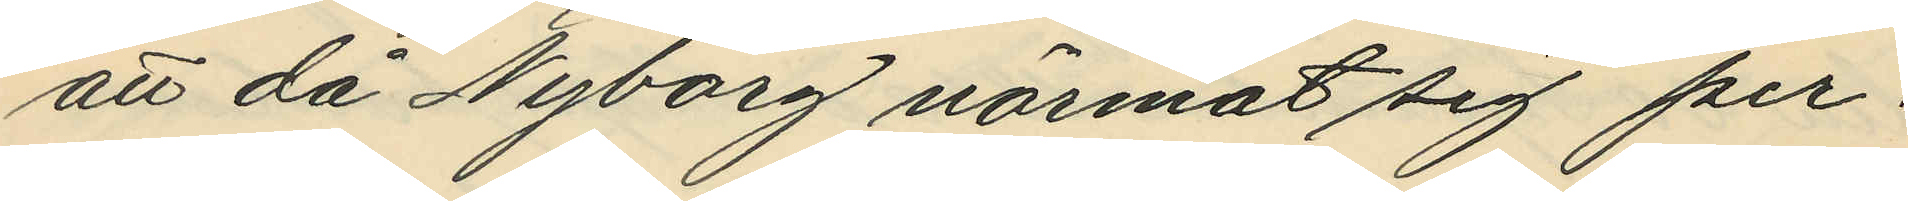att då Nyborg närmat sig per¬
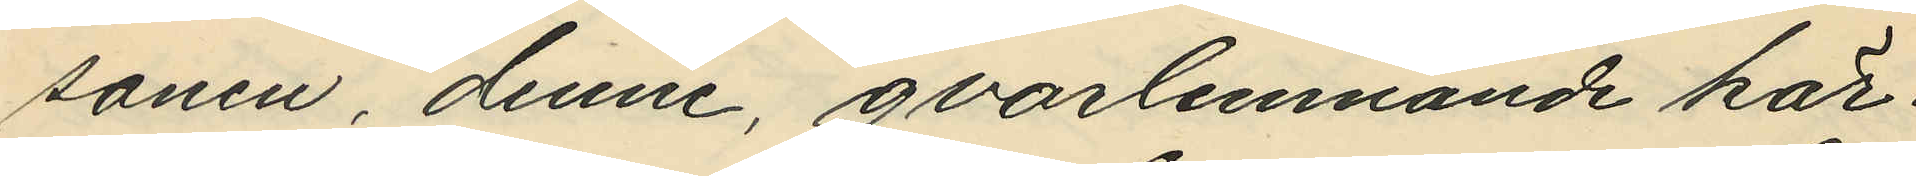sonen, denne, qvarlemnande kär¬
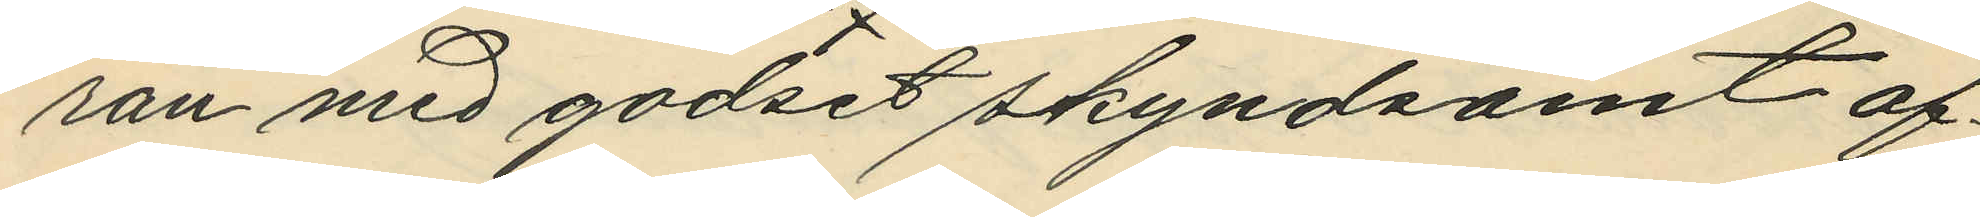ran med godset skyndsamt af¬
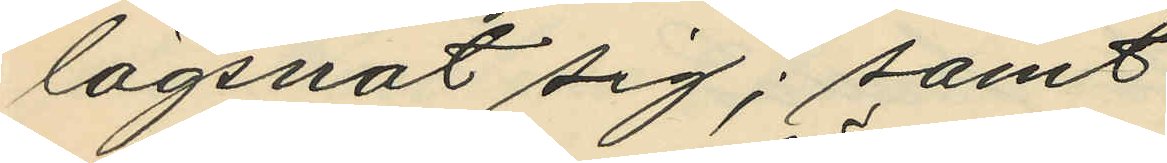lägsnat sig; samt
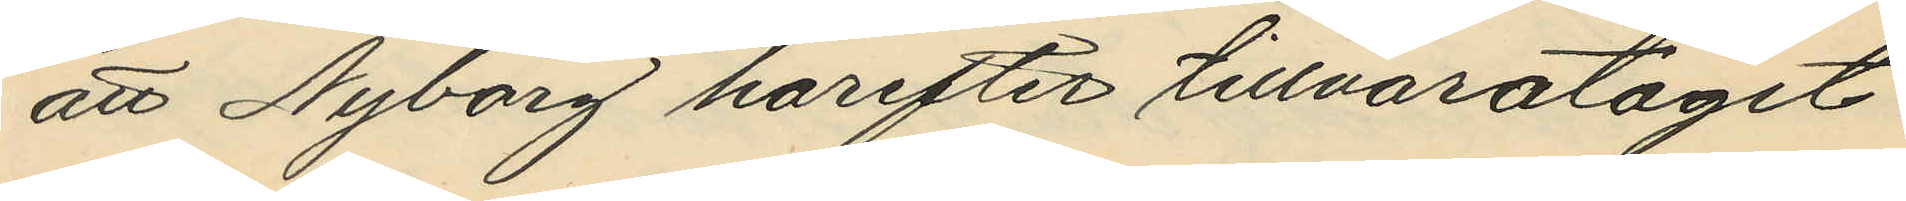att Nyborg härefter tillvaratagit
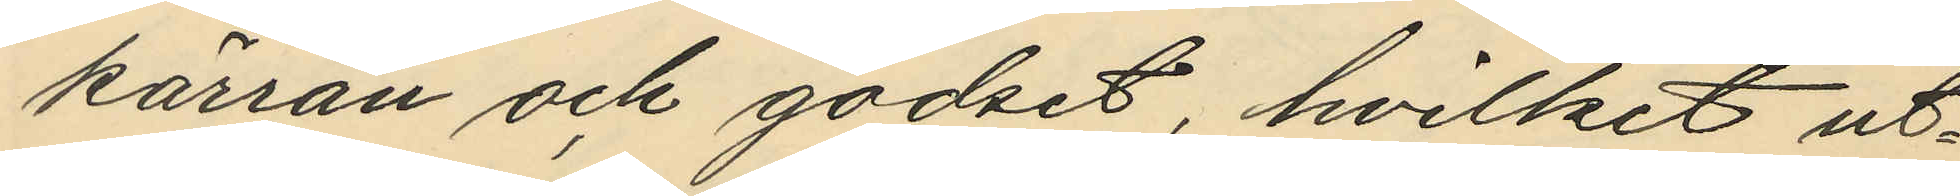kärran och godset, hvilket ut¬
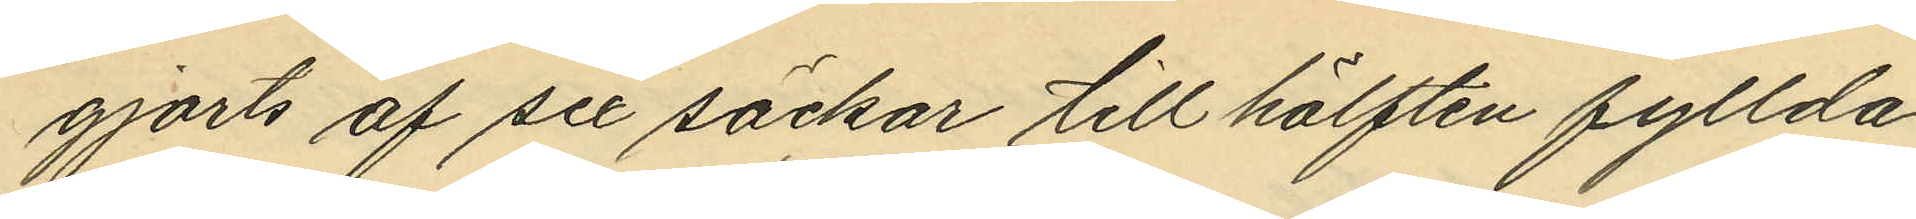gjorts af sex säckar till hälften fyllda
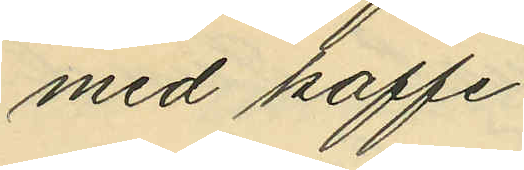med kaffe.
